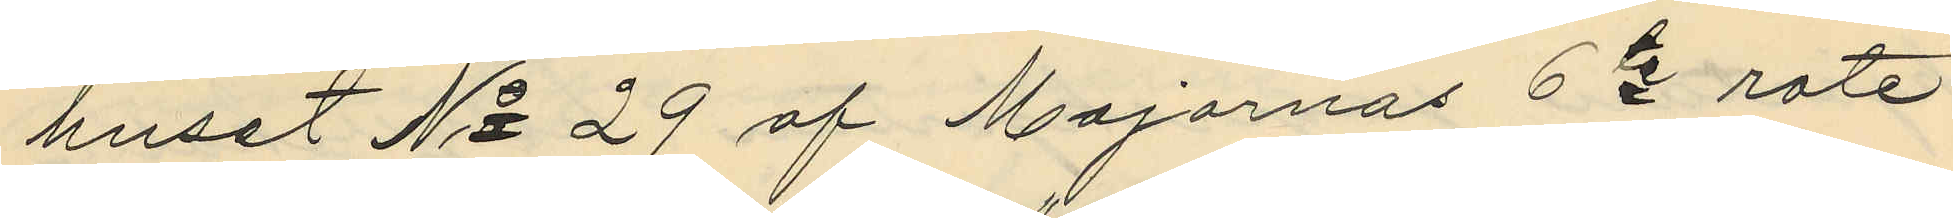huset No 29 af Majornas 6te rote
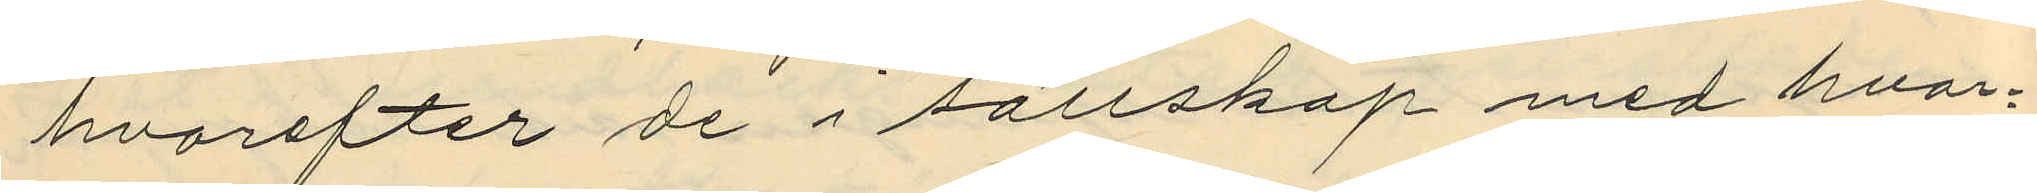hvarefter de i sällskap med hvar¬
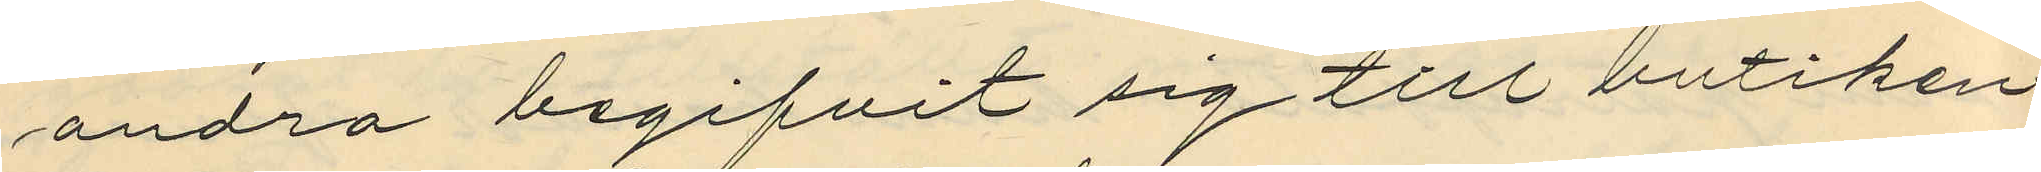andra begifvit sig till butiken
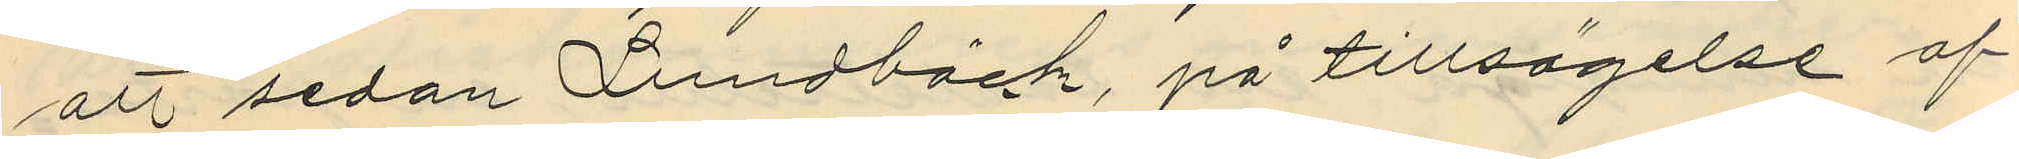att sedan Lundbäck, på tillsägelse af
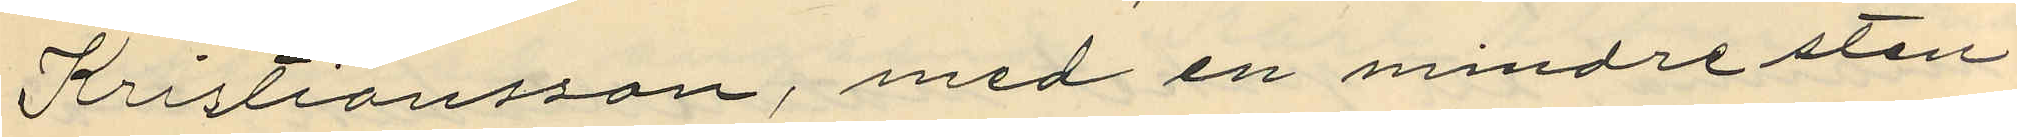Kristiansson, med en mindre sten
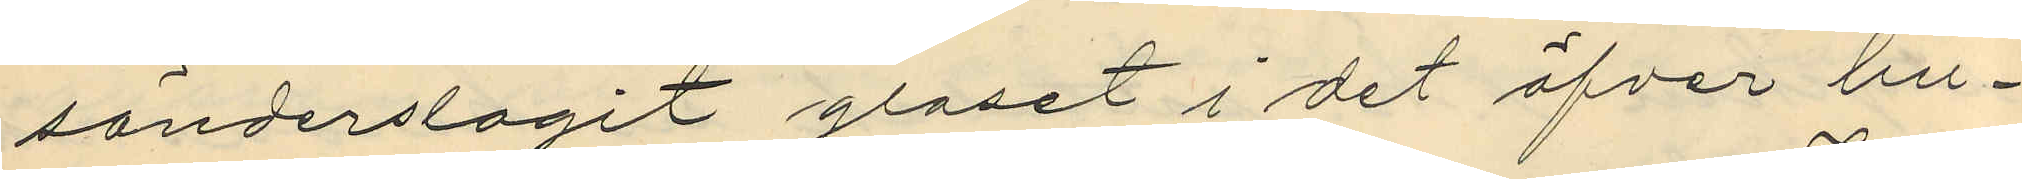sönderslagit glaset i det öfver bu¬
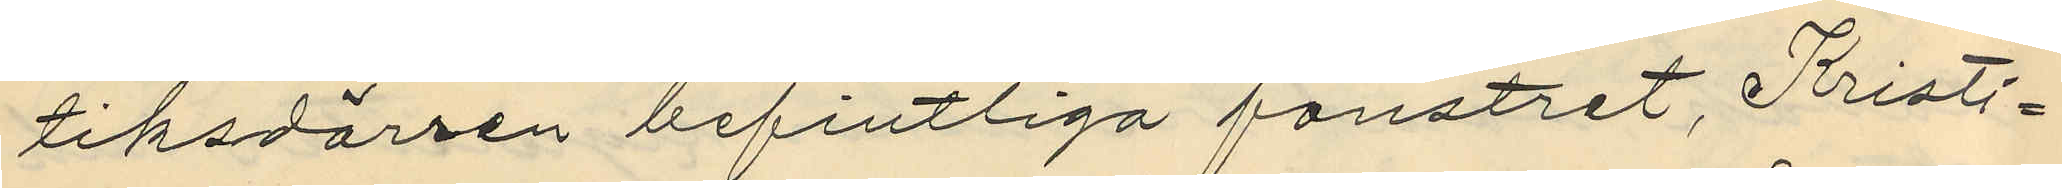tiksdörren befintliga fönstret, Kristi¬
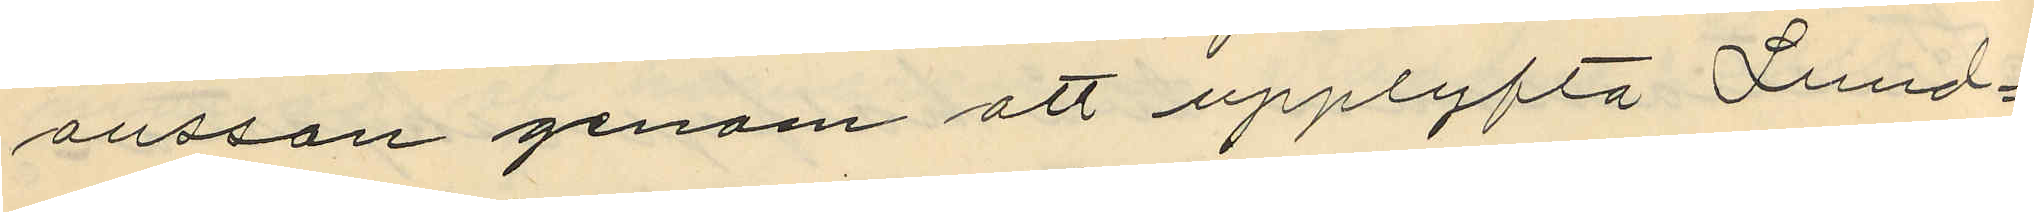ansson genom att upplyfta Lund¬
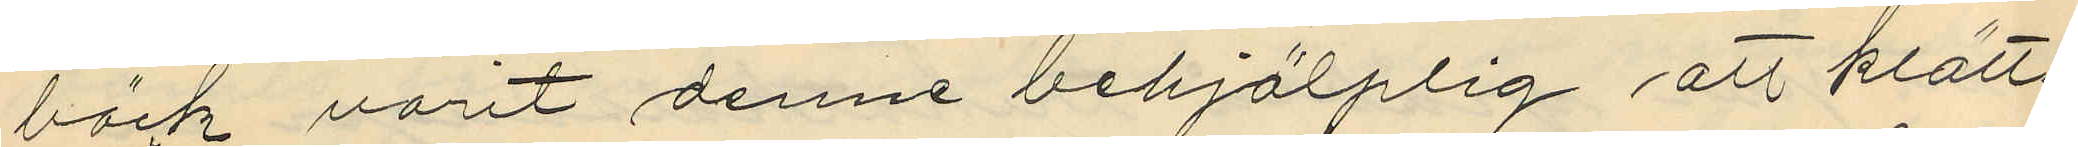bäck varit denne behjälplig att klätt¬
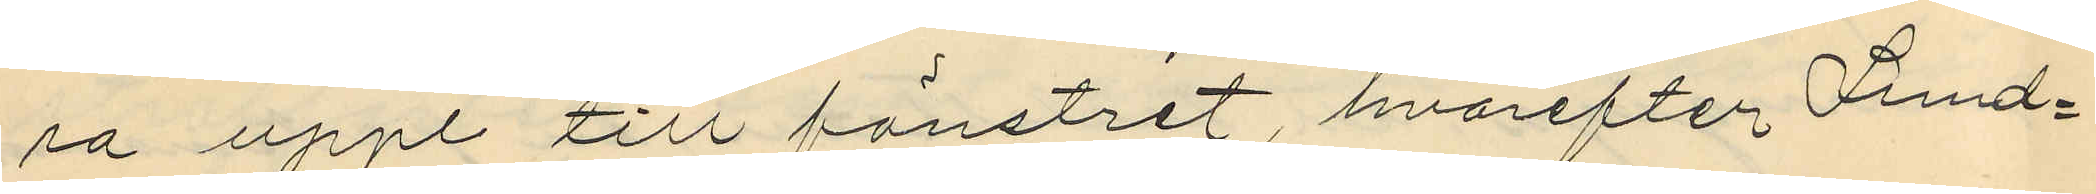sa upp till fönstret, hvarefter Lund¬
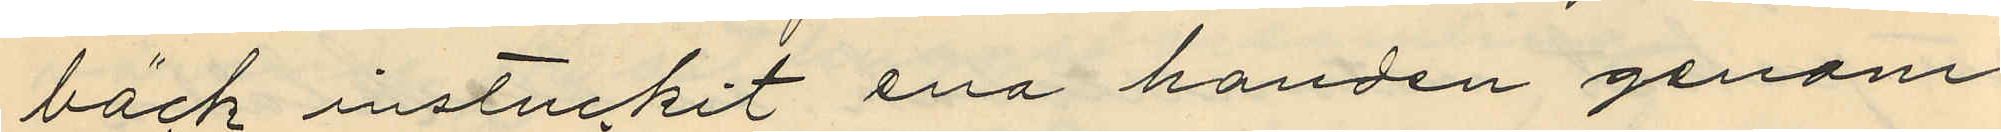bäck instuckit ena handen genom
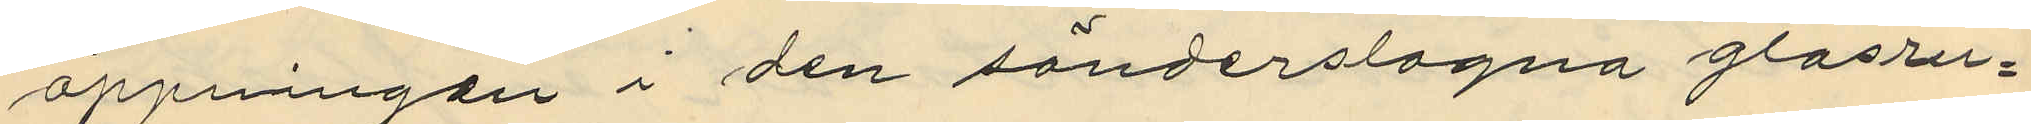öppningen i den sönderslagna glasru¬
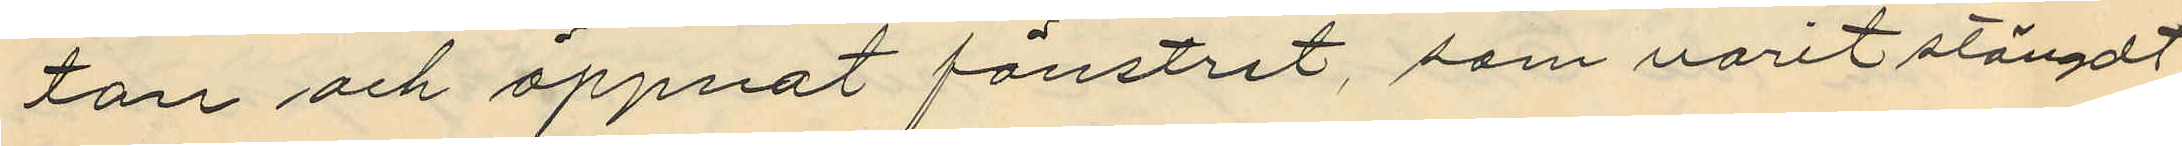tan och öppnat fönstret, som varit stängdt
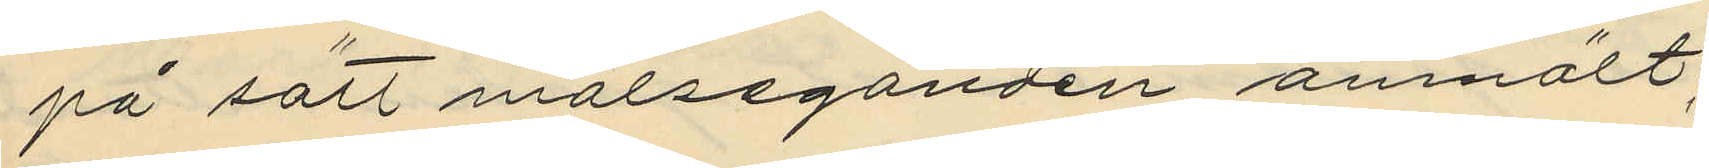på sätt målseganden anmält:
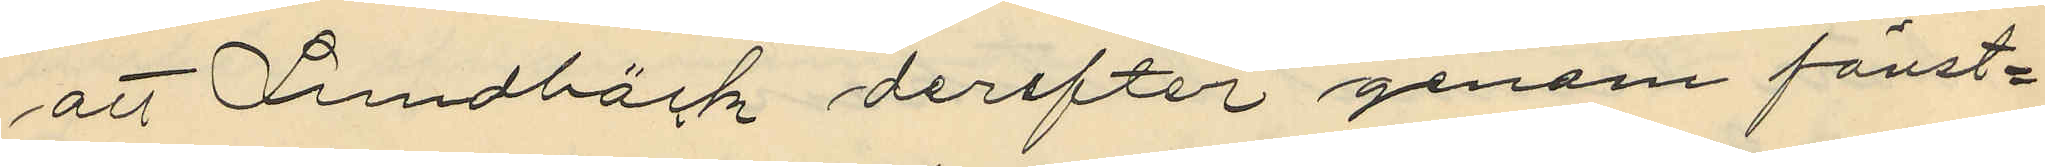att Lundbäck derefter genom fönst¬
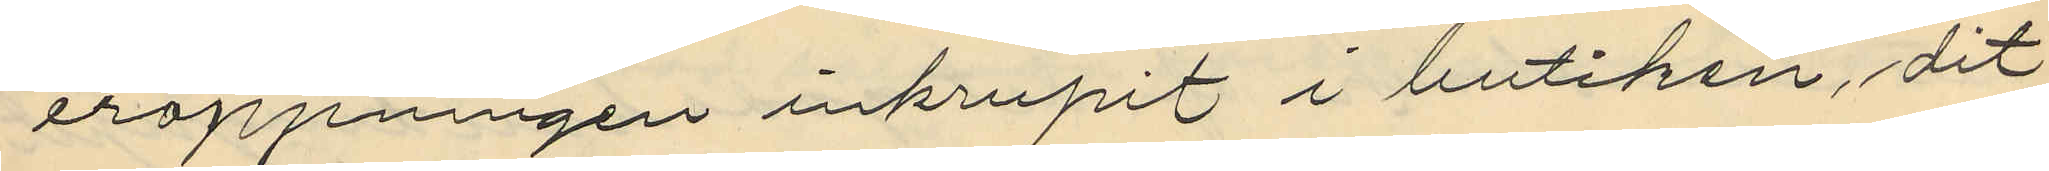eröppningen inkrupit i butiken, dit
